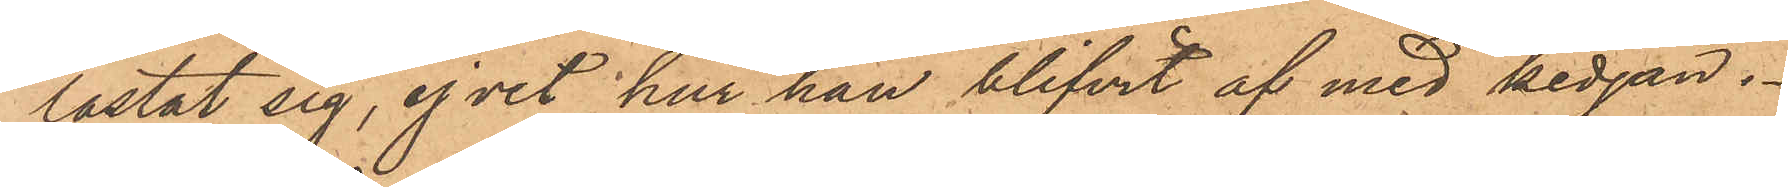lastat sig, ej vet hur han blifvit af med kedjan.
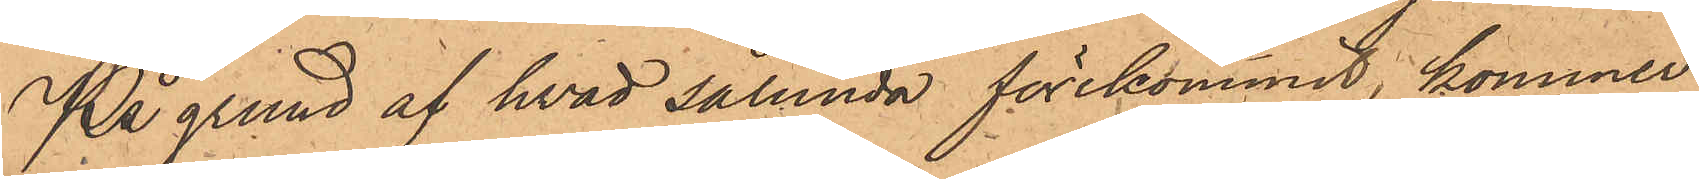På grund af hvad sålunda förekommit, kommer
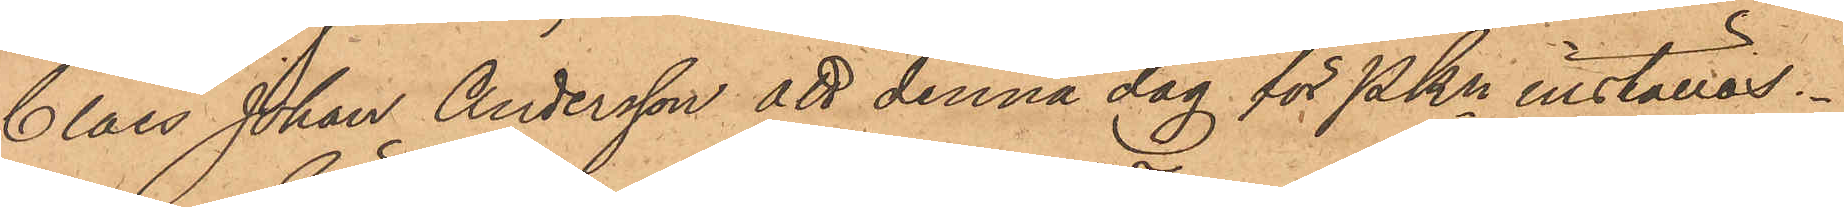Claes Johan Andersson att denna dag för Pkn inställas.
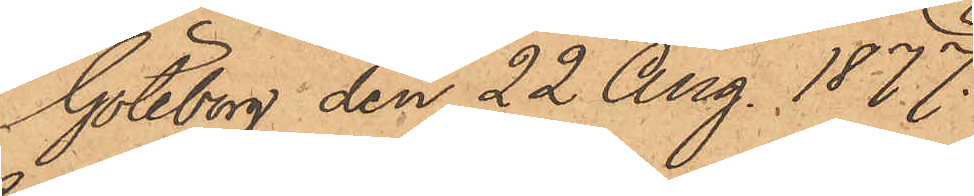Göteborg den 22 Aug. 1877.
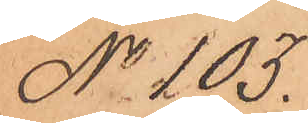No 103.
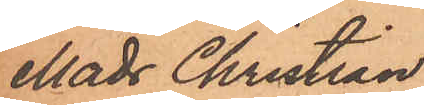Mads Christian
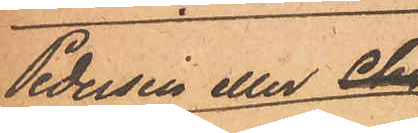Pedersen eller 
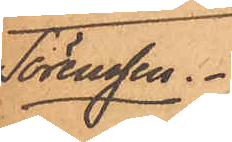Sörensen
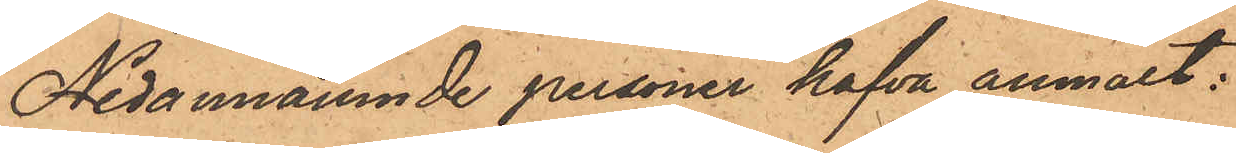Nedannämnde personer hafva anmält:
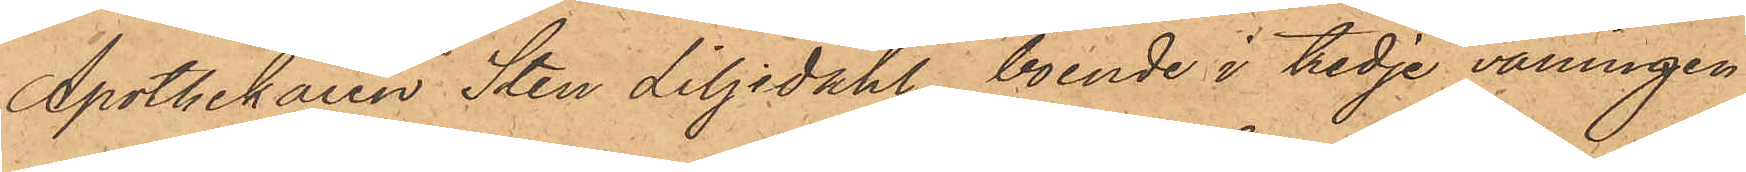Apothekaren Sten Liljedahl, boende i tredje våningen
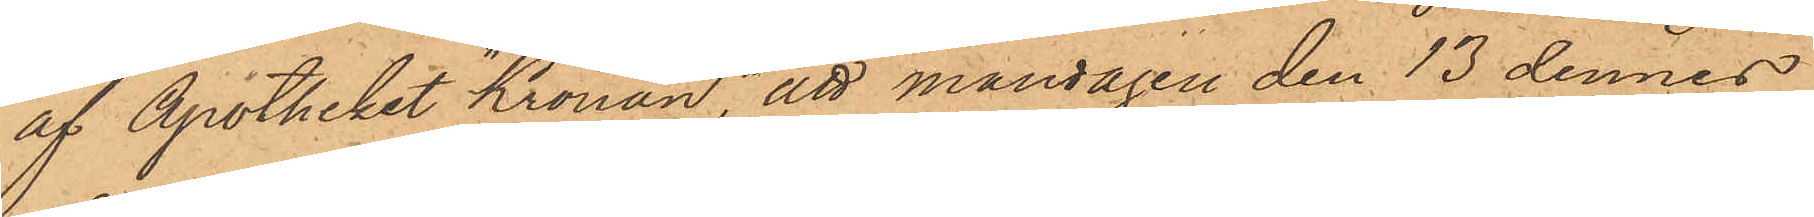af Apotheket "Kronan", att måndagen den 13 dennes
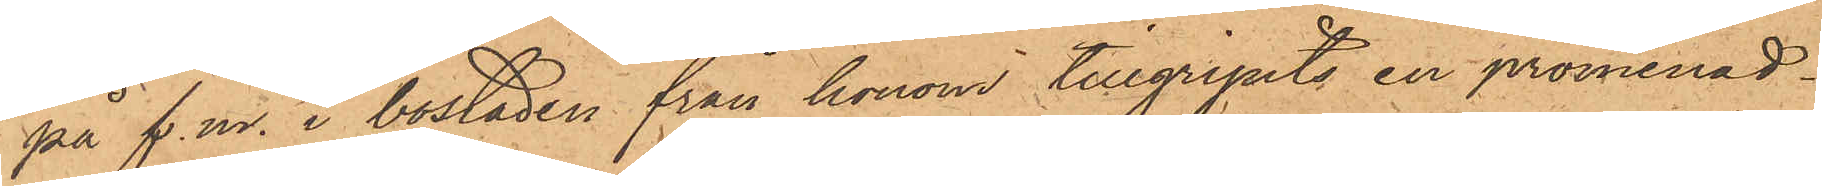på f. m. i bostaden från honom tillgripits en promenad¬
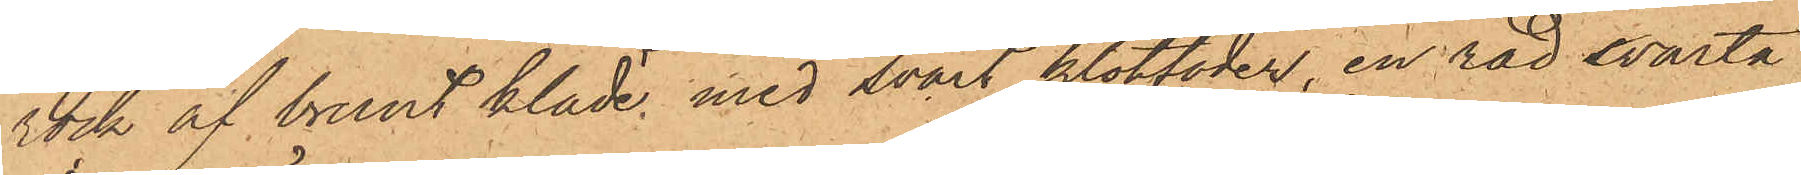rock af brunt kläde, med svart klotfoder, en rad svarta
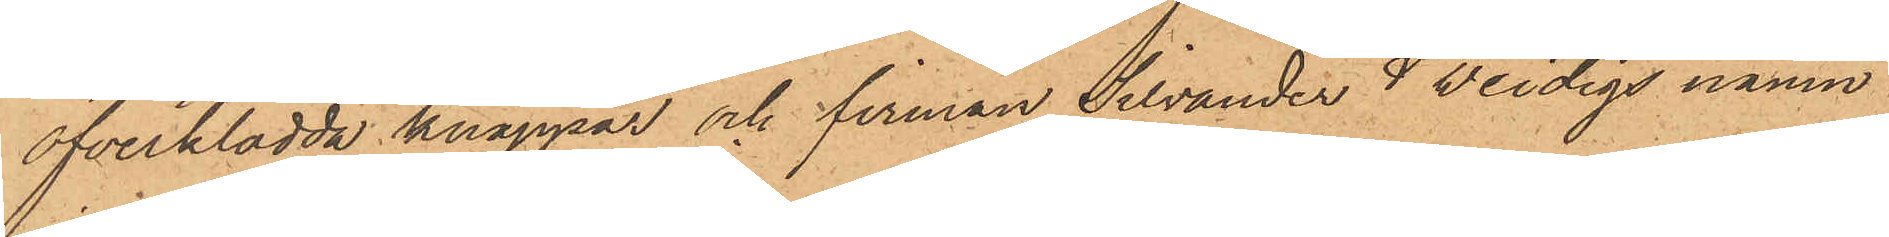öfverklädda knappar och firman Silvander & Weidigs namn
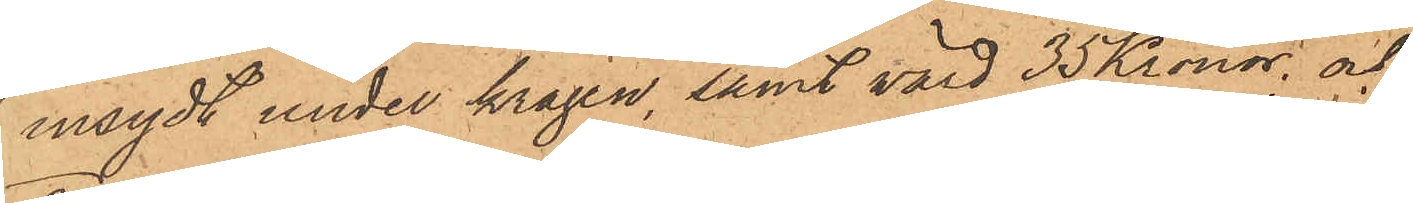insydt under kragen, samt värd 35 Kronor; och
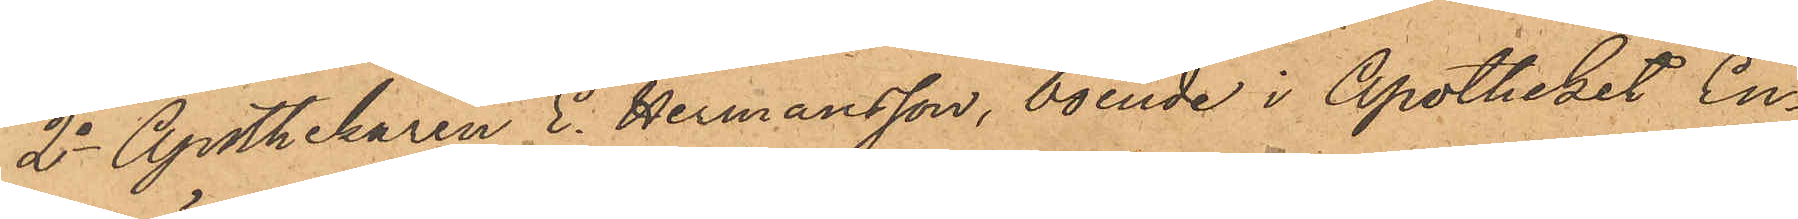2o Apothekaren C. Hermansson, boende i Apotheket En¬
